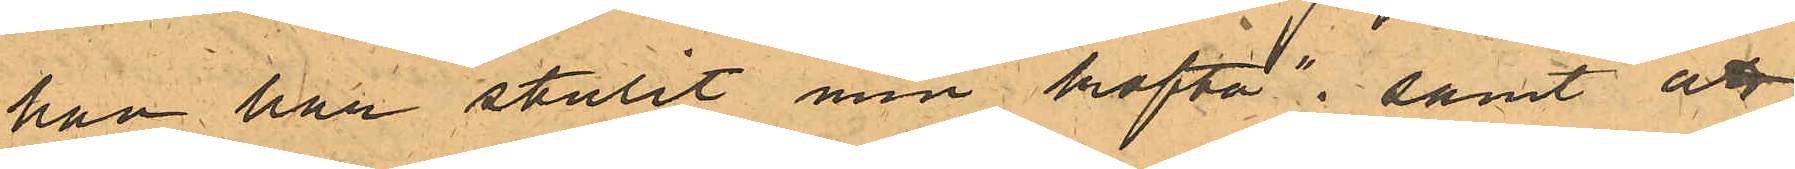han har stulit min kofta"; samt att
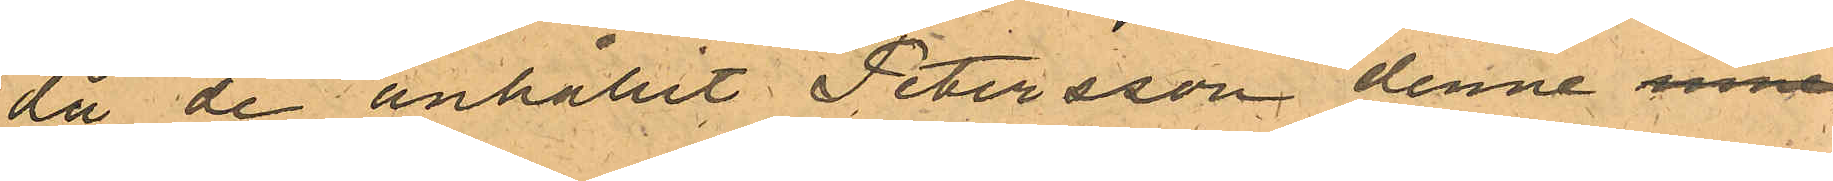då de anhållit Petersson denne inne¬
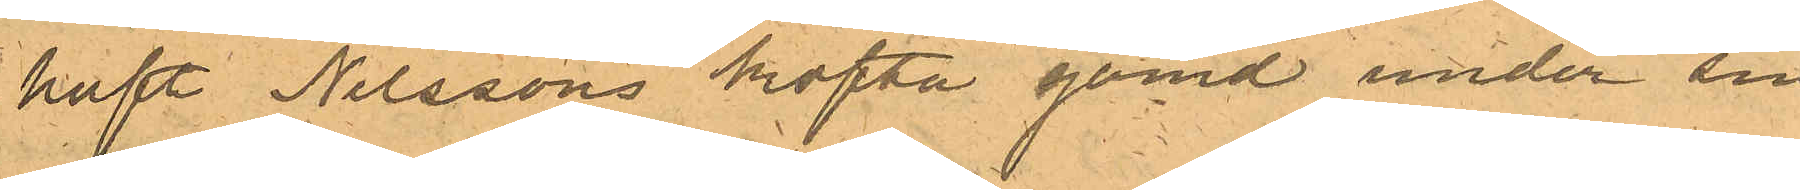haft Nilssons kofta gömd under sin
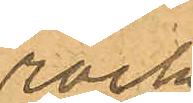rock
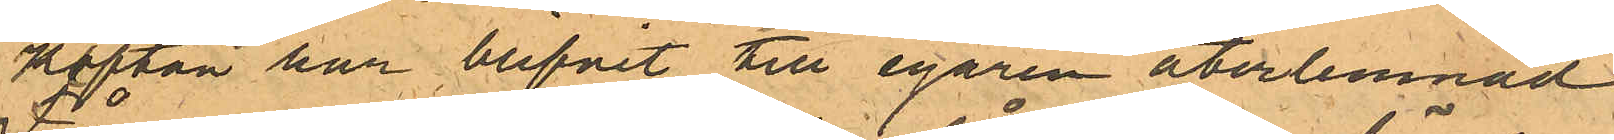Koftan har blifvit till egaren återlemnad
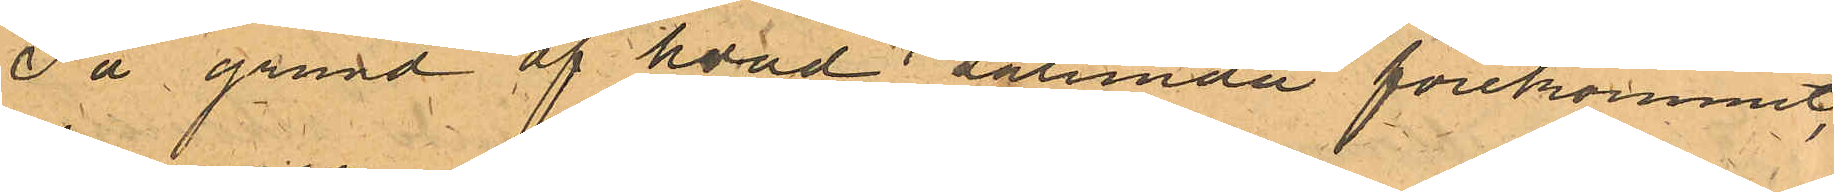På grund af hvad sålunda förekommit,
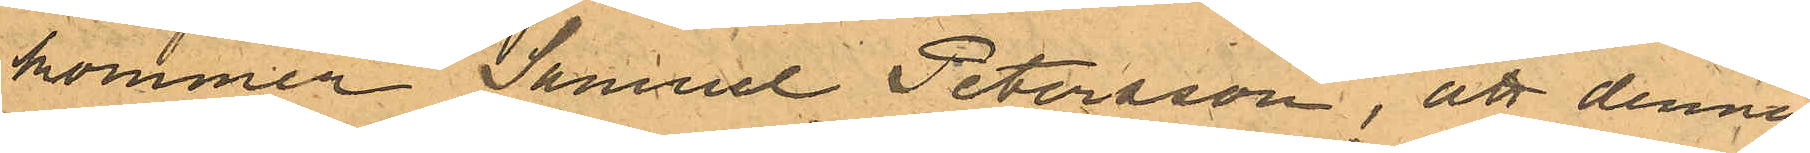kommer Samuel Petersson, att denna
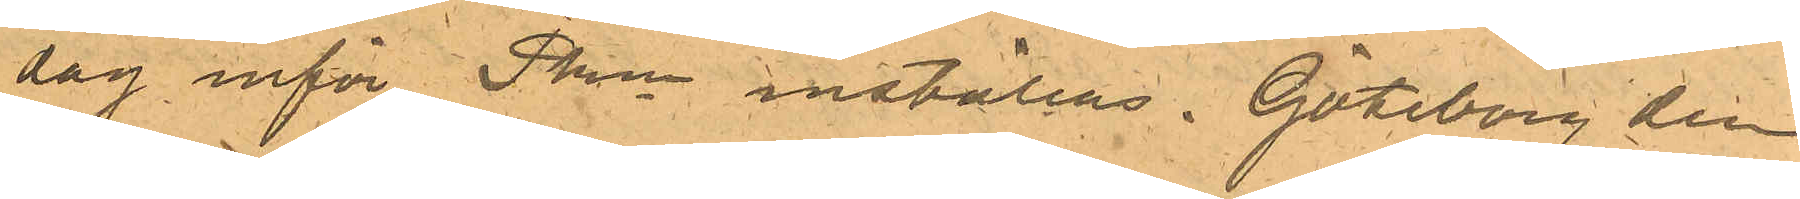dag inför Pkn inställas. Göteborg den
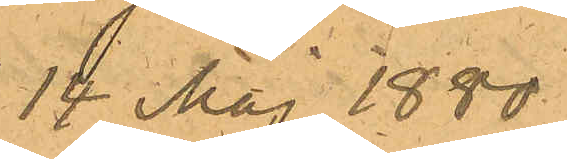14 Maj 1880.
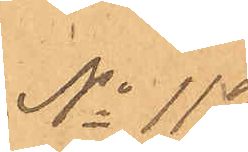No 112.
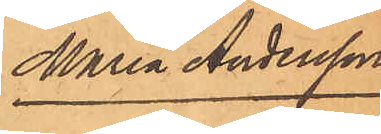Maria Andersson
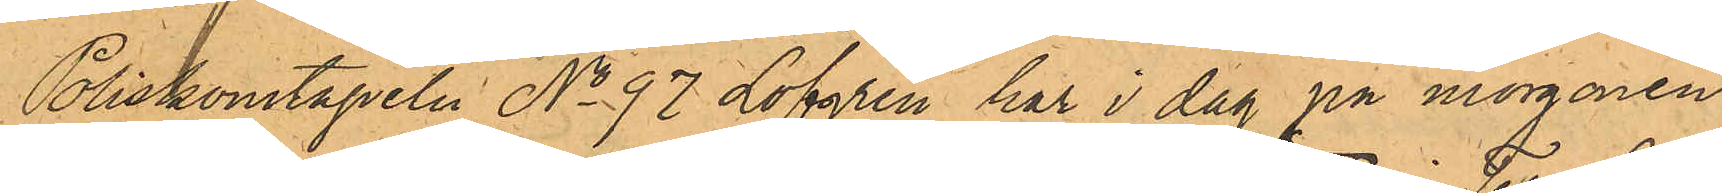Poliskonstapeln No 97 Löfgren har i dag på morgonen
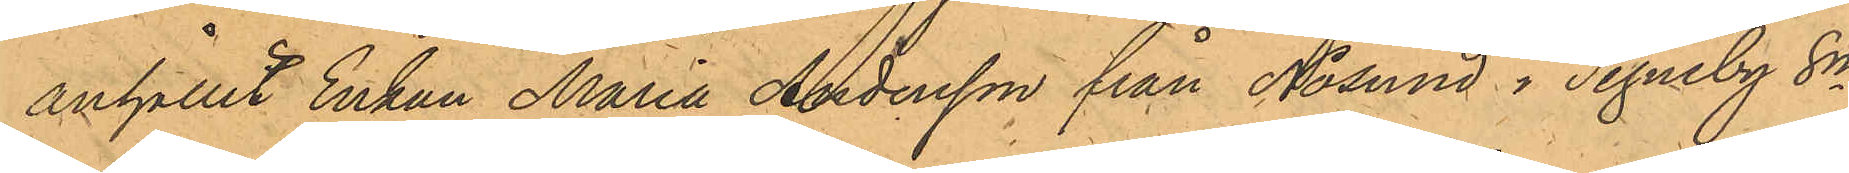anhållit Enkan Maria Andersson från Nösund i Tegneby Sn
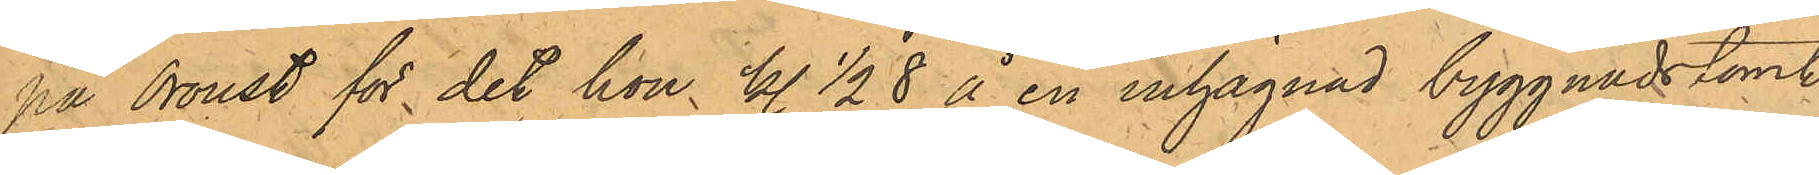på Oroust för det hon kl. 1/2 8 å en inhägnad byggnadstomt
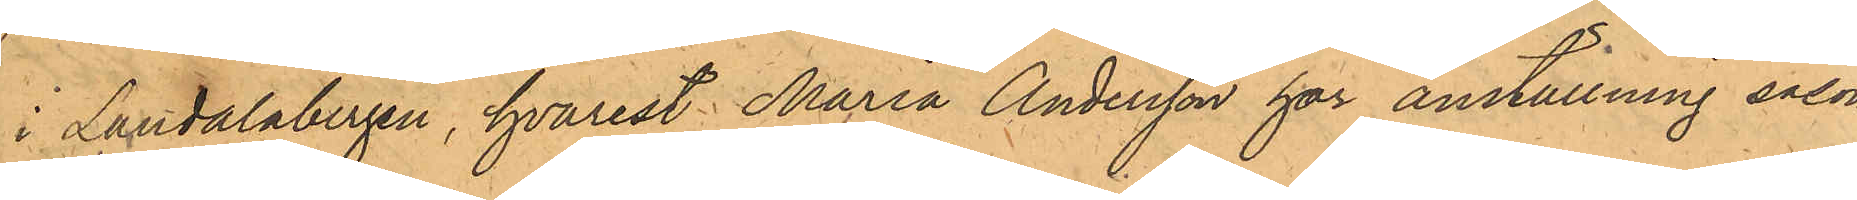i Landalabergen, hvarest Maria Andersson har anställning såsom
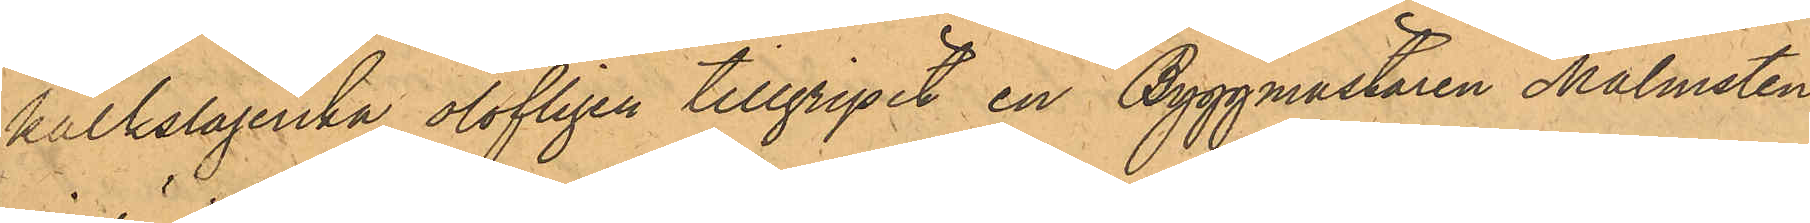kalkslagerska, olofligen tillgripit en Byggmästaren Malmsten
